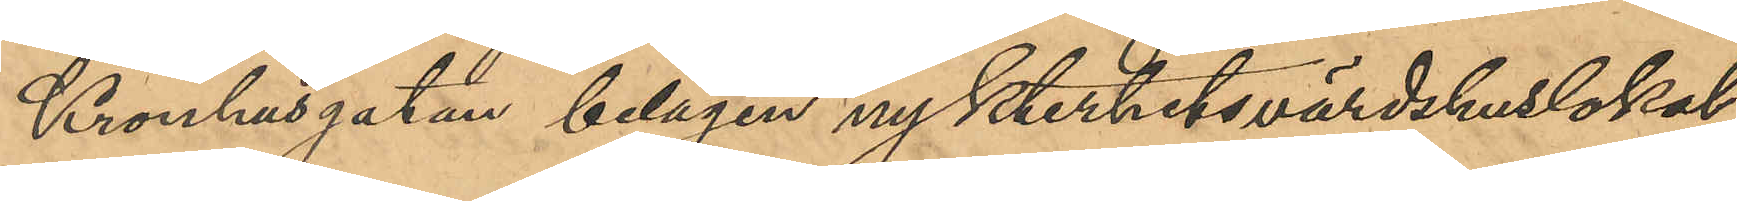Kronhusgatan belägen nykterhetsvärdshuslokal,
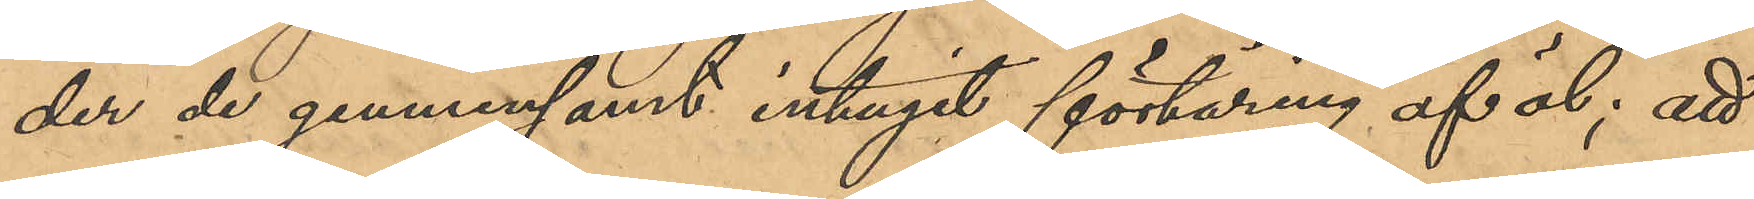der de gemensamt intagit förtäring af öl; att
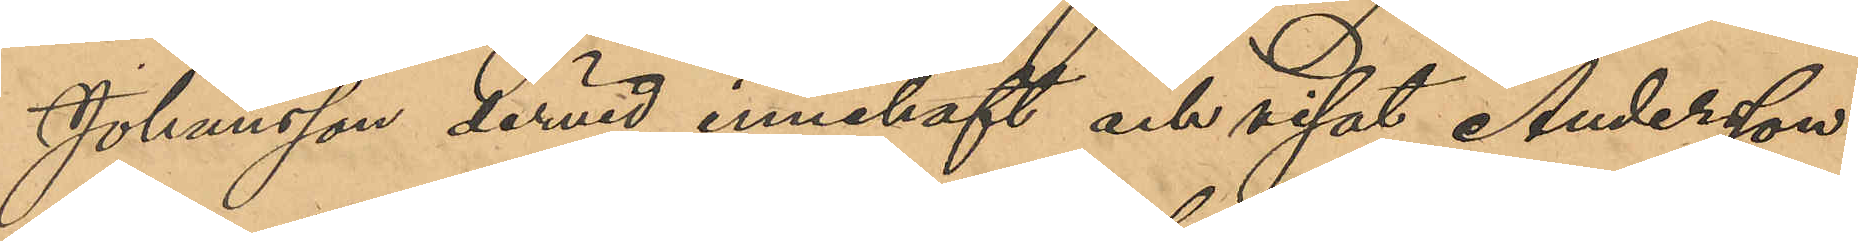Johansson dervid innehaft och visat Andersson
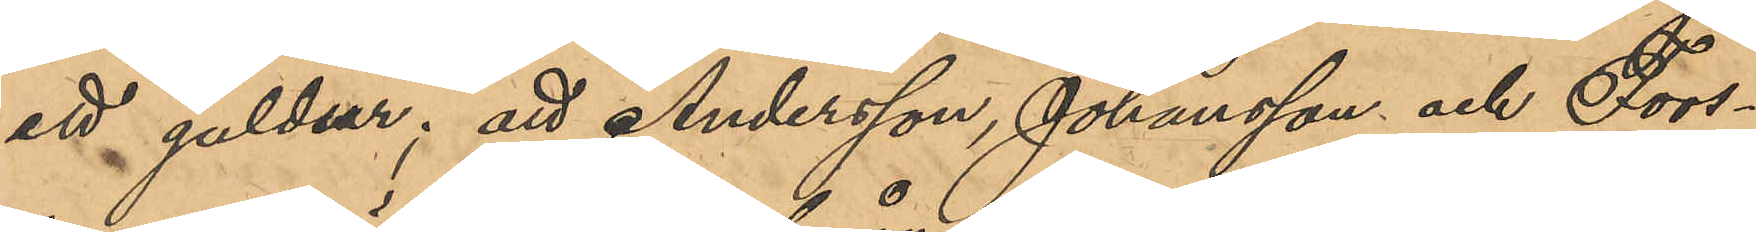ett guldur; att Andersson, Johansson och Fors¬
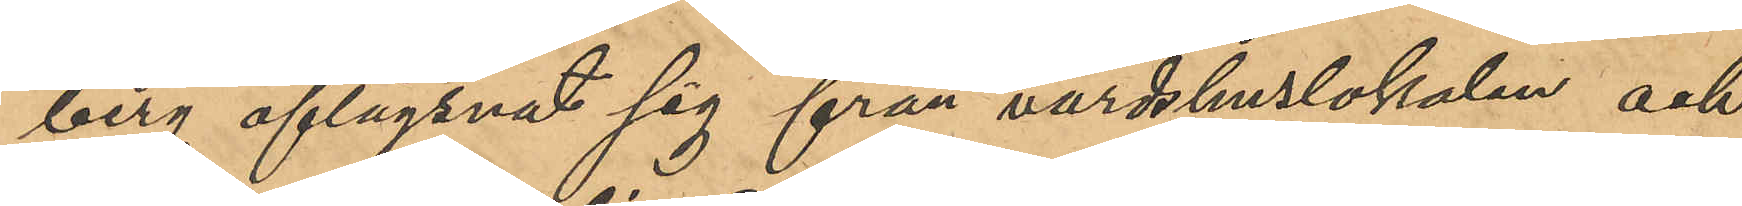berg aflägsnat sig från värdshuslokalen och
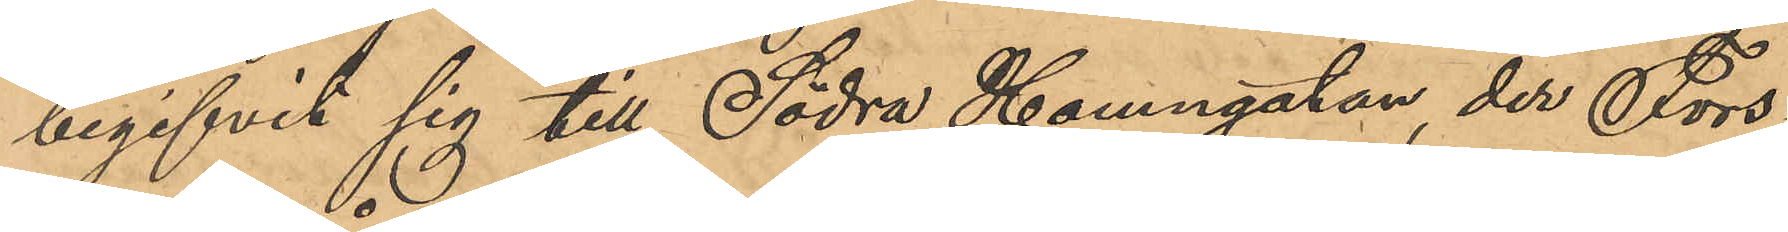begifvit sig till Södra Hamngatan, der Fors¬
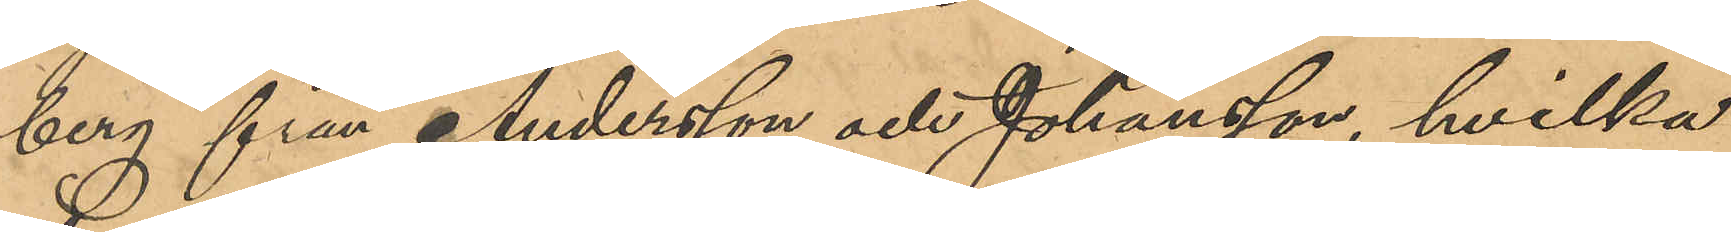berg från Andersson och Johansson, hvilka
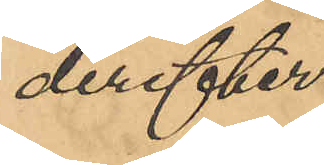derefter
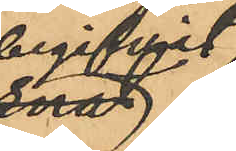begifvit 
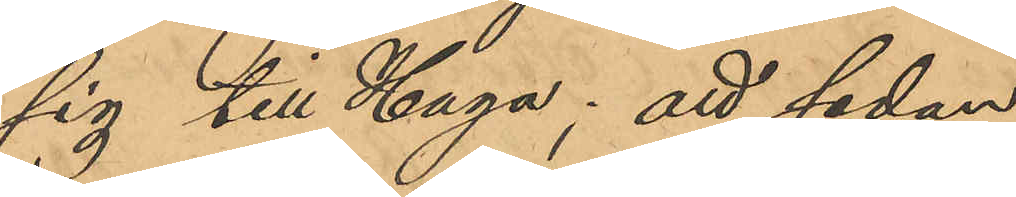sig till Haga; att sedan
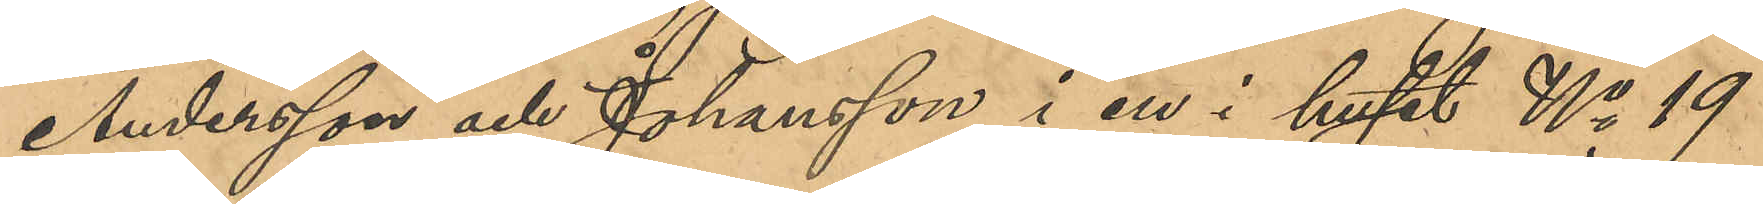Andersson och Johansson i en i huset No 19
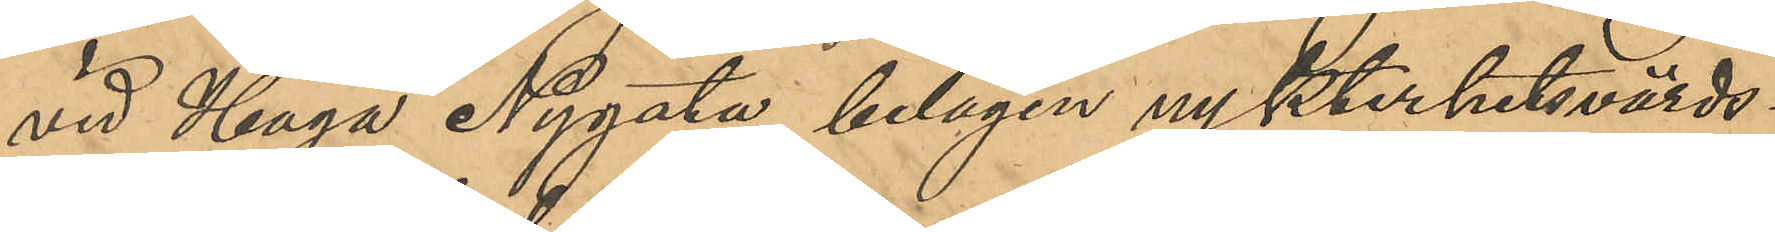vid Haga Nygata belägen nykterhetsvärds¬
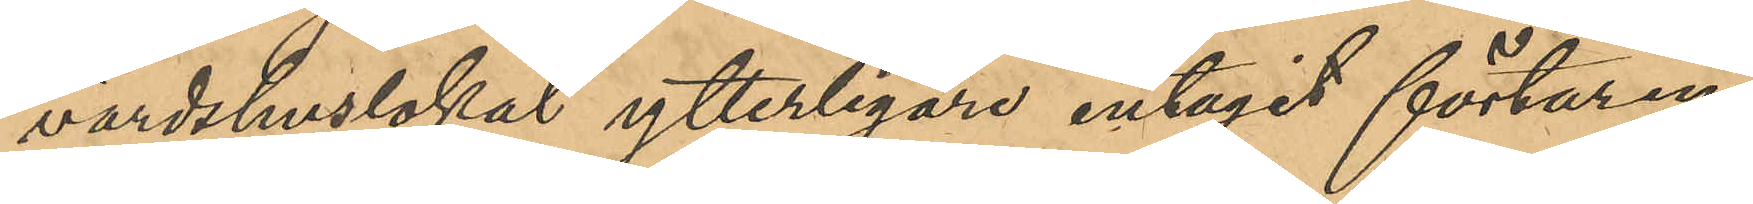värdshuslokal ytterligare intagit förtäring
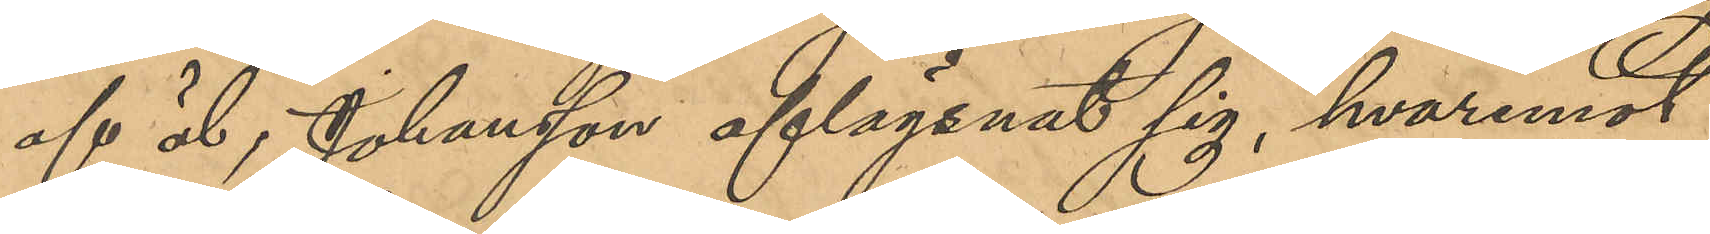af öl, Johansson aflägsnat sig, hvaremot
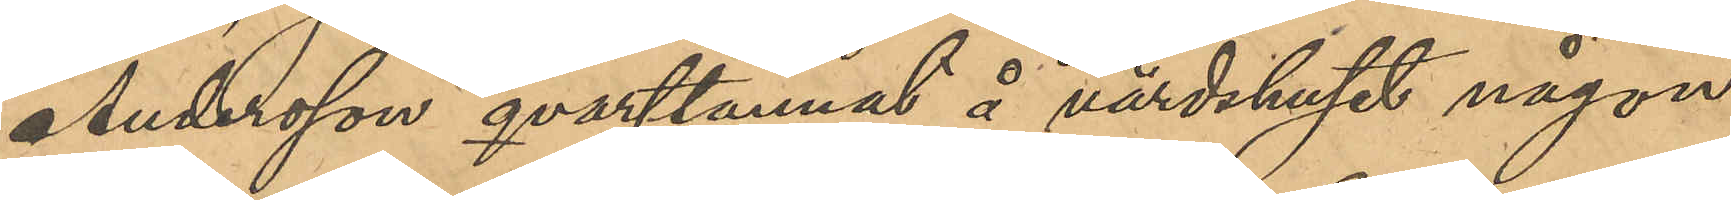Andersson qvarstannat å värdshuset någon
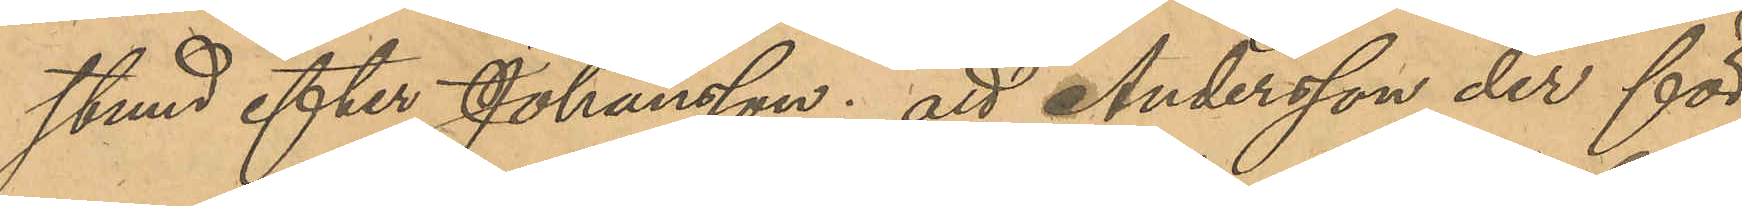stund efter Johansson; att Andersson der för
